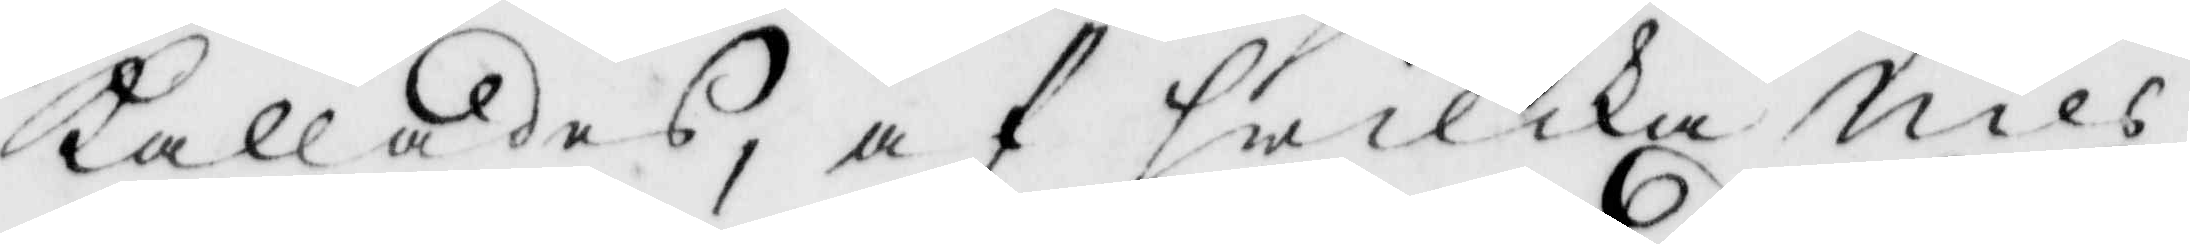kallades, af hwilka Nils
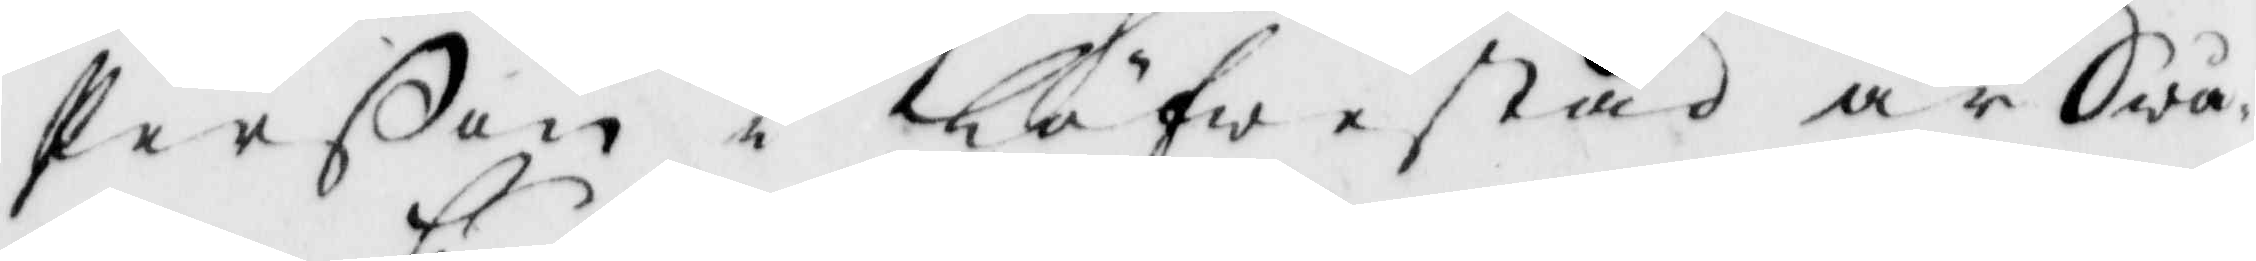Perßon i Löfwestad är Swå¬
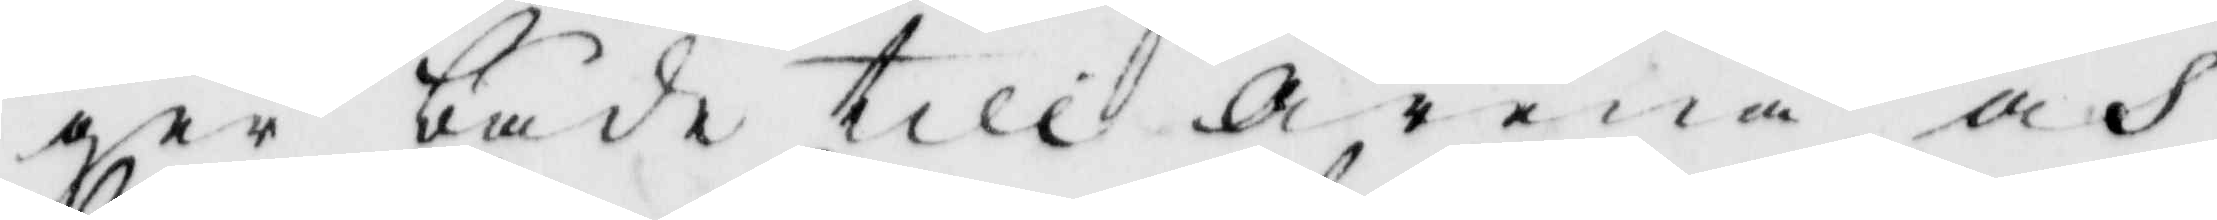ger både till Arena och
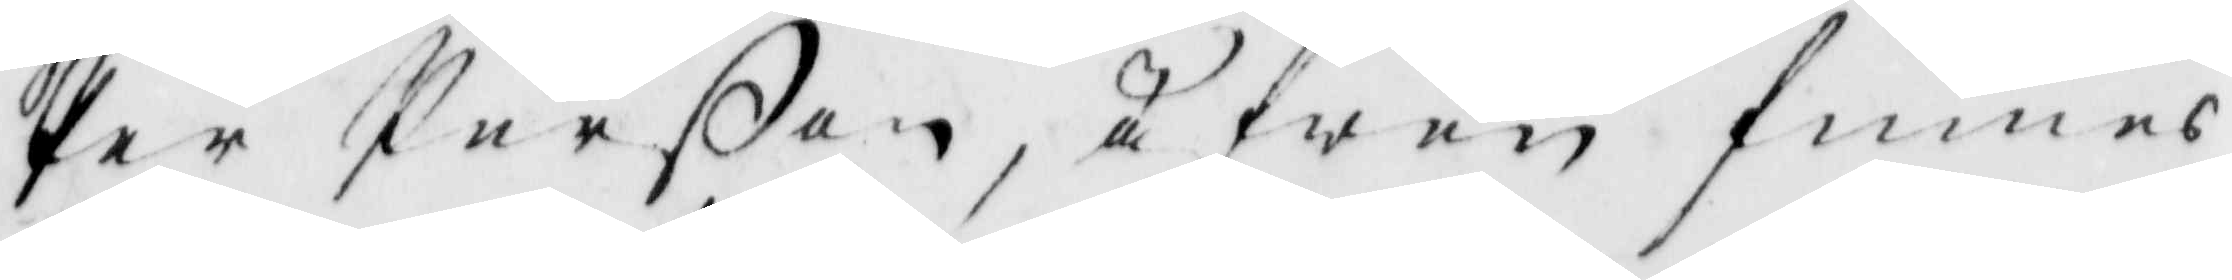Per Perßon, äfwen finnes
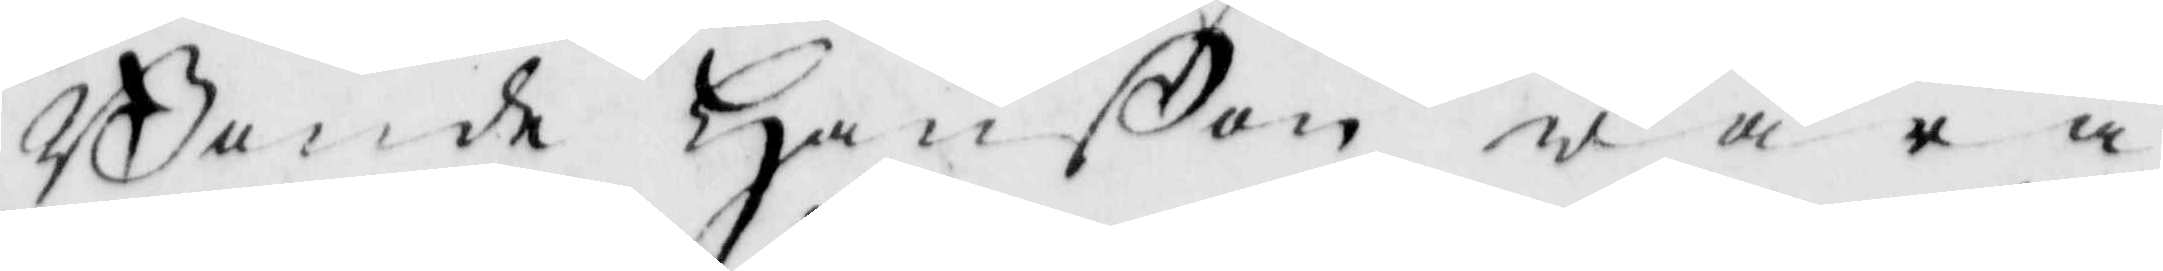Bonde Hanßon wara
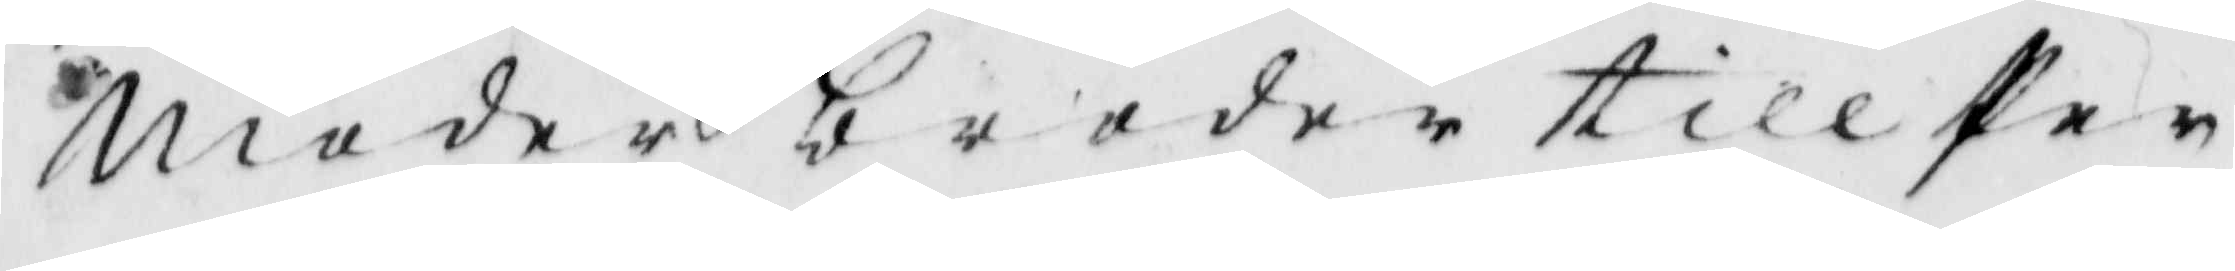Moderbroder till Per
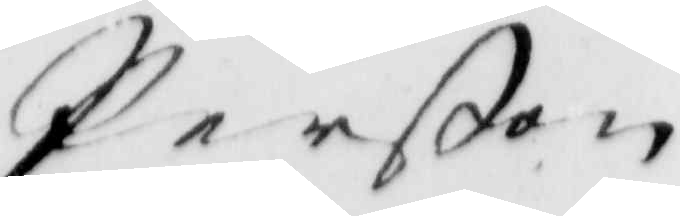Perßn
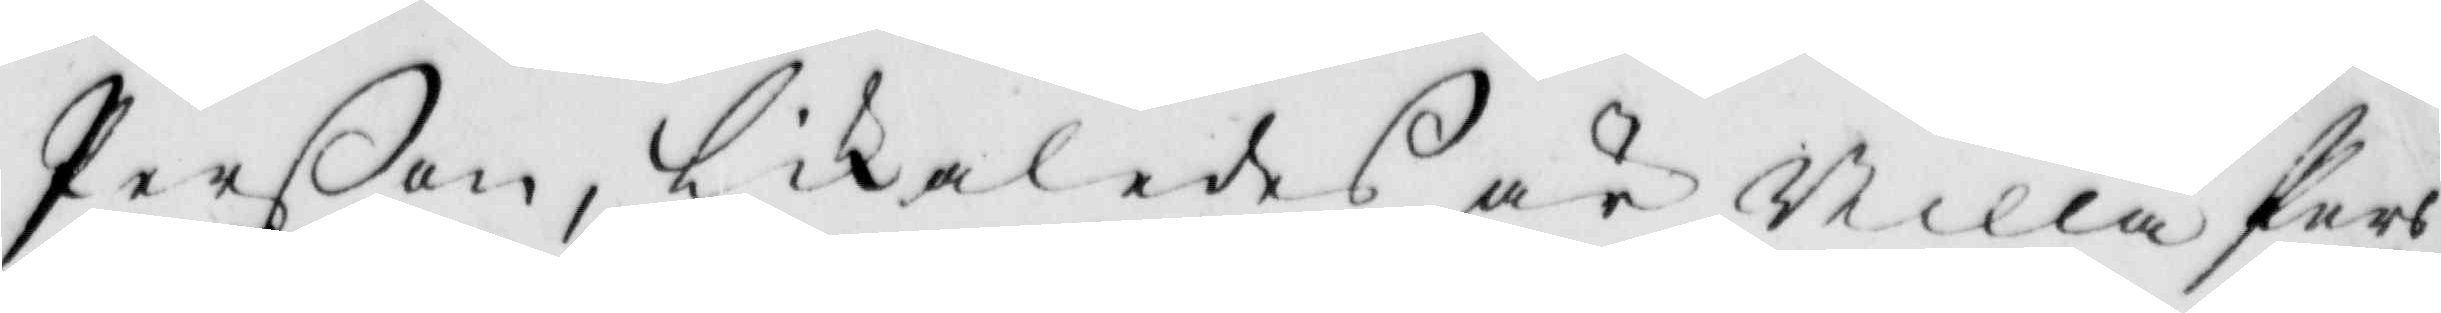Perßon, likaledes är Nilla Pers
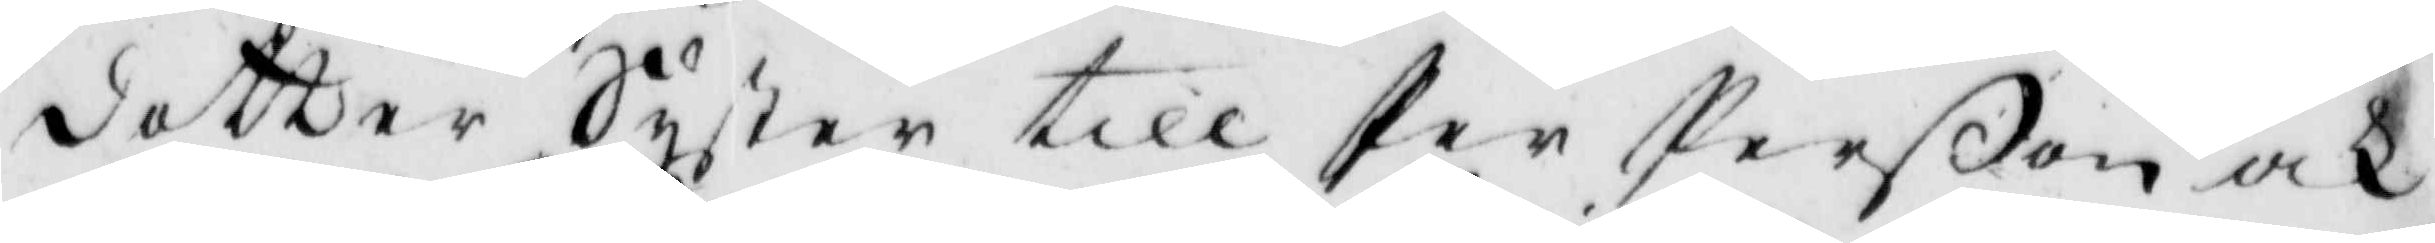dotter Syster till Per Perßon och
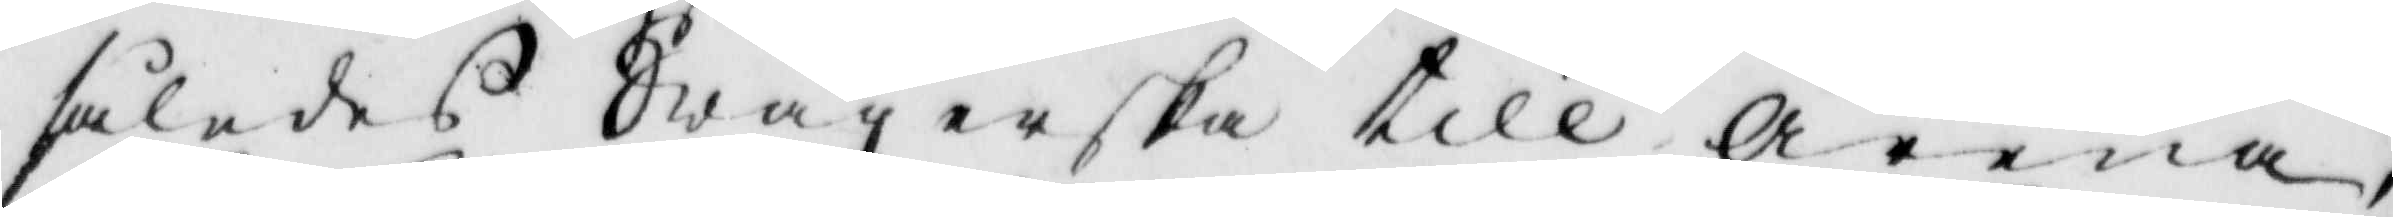således Swägerska till Arena,
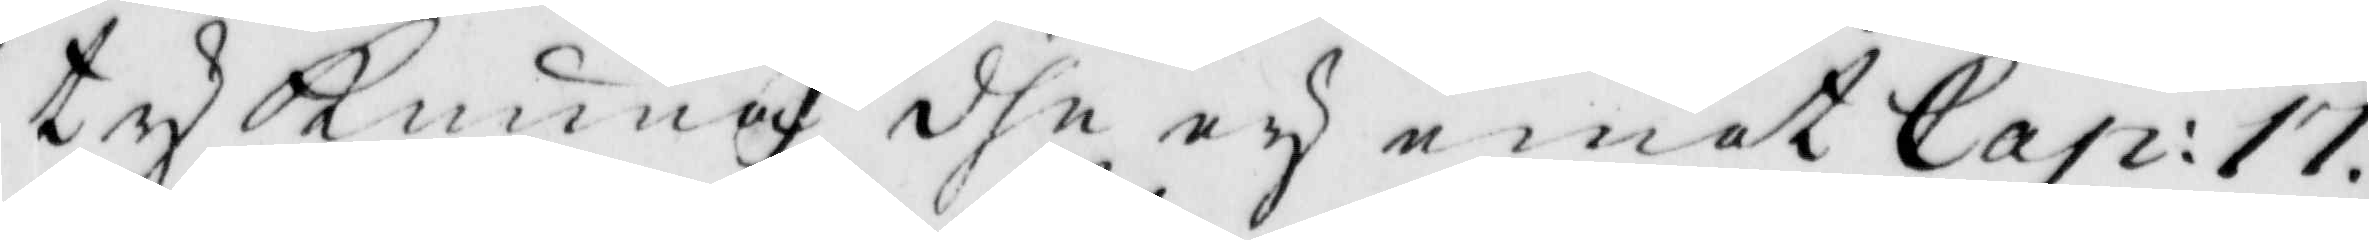ty Kunna dhe ey emot Cap: 17.
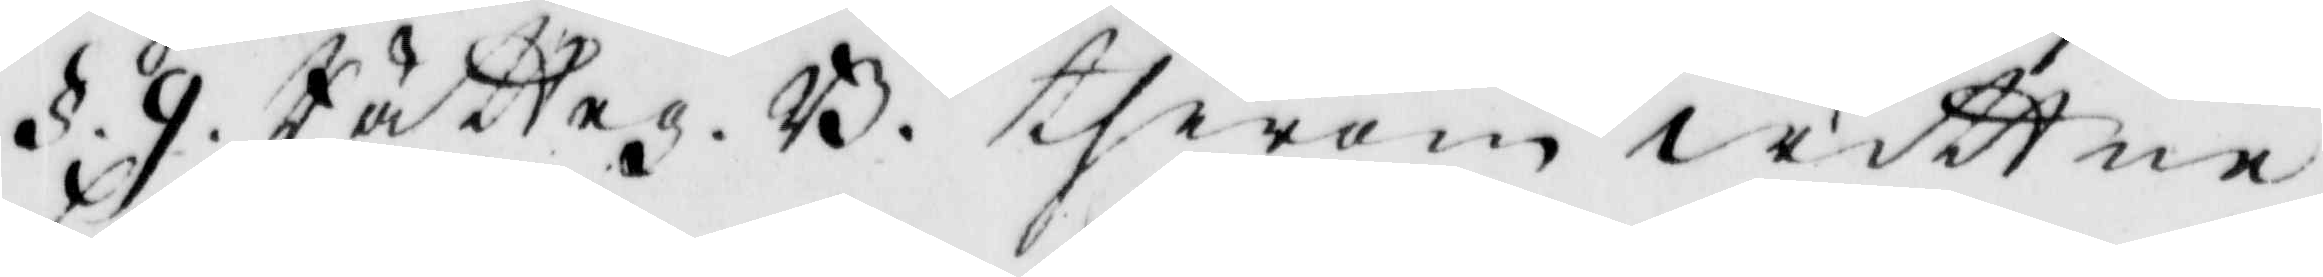§. 9. Rätteg. B. therom wittne
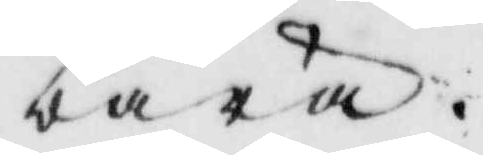bära.
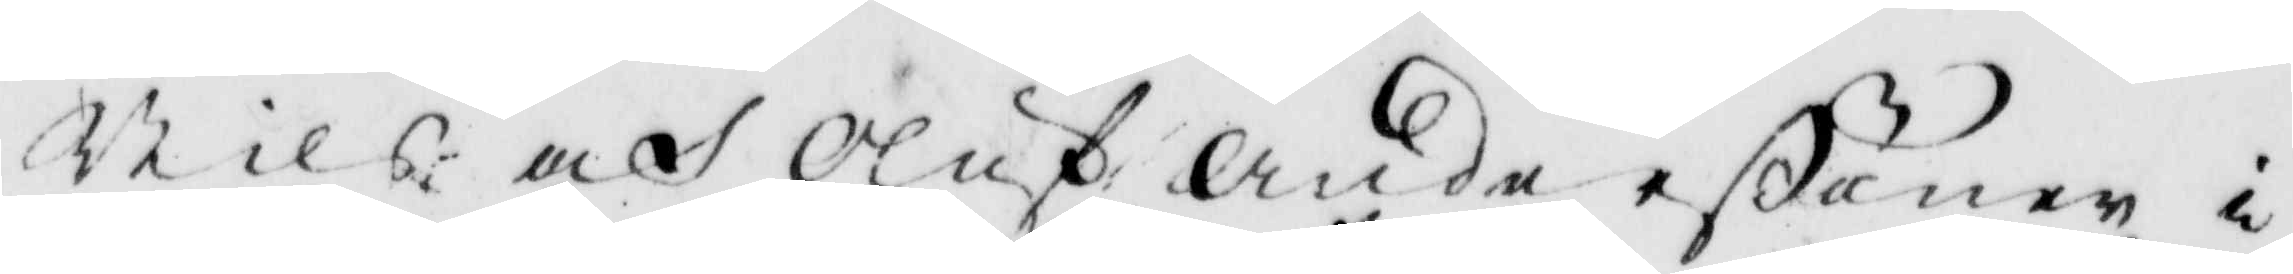Nils och Oluf Andersßöner i
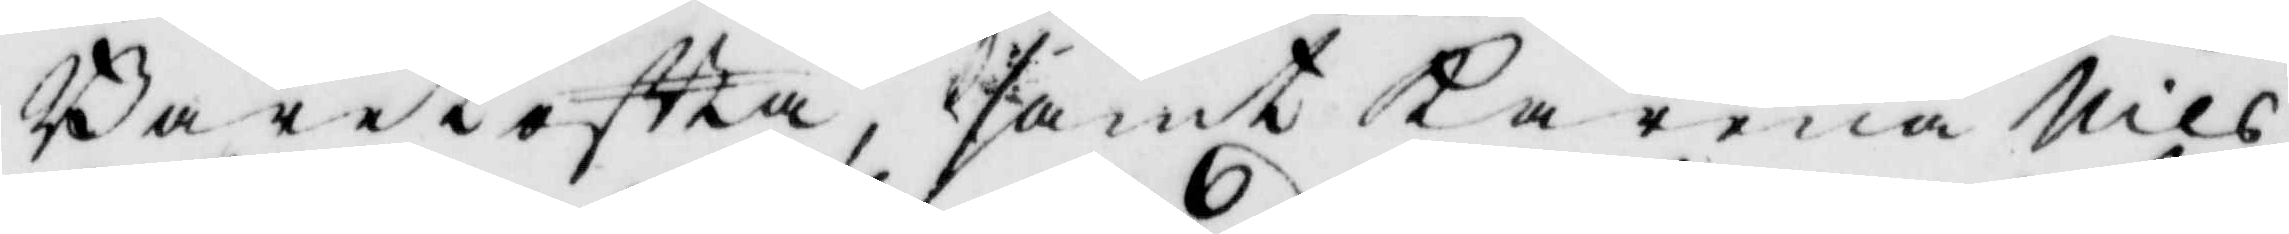Bärestofta samt Karma Nils
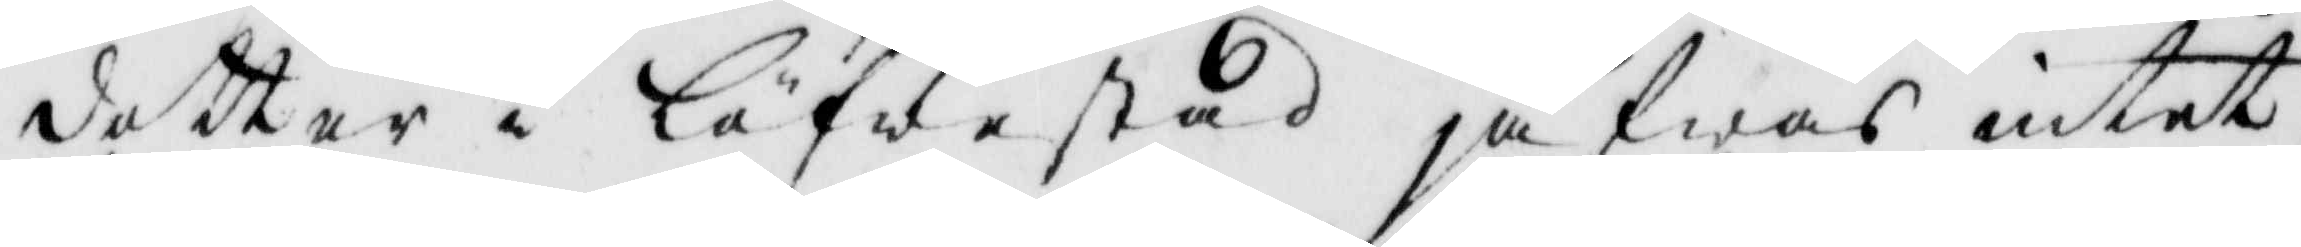dotter i Löfwestadjäfwas intet,
